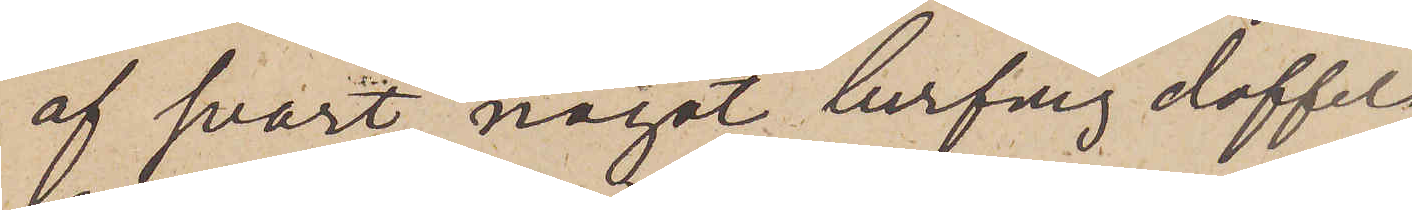af svart, något lurfig doffel,
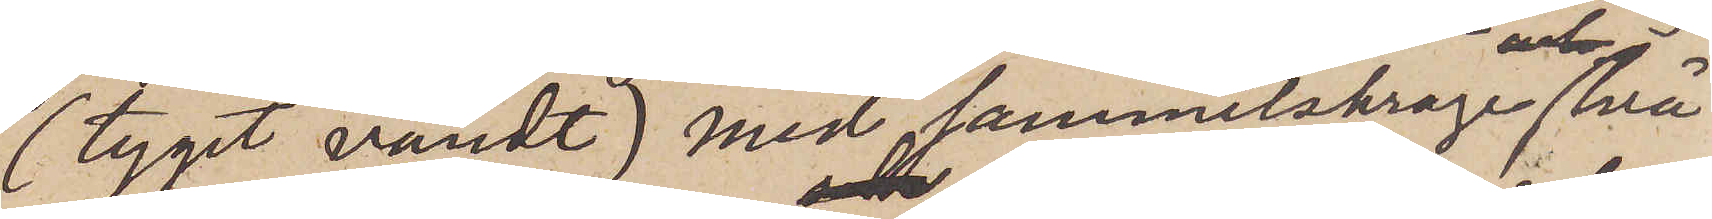(tyget vändt) med sammetskrage, två
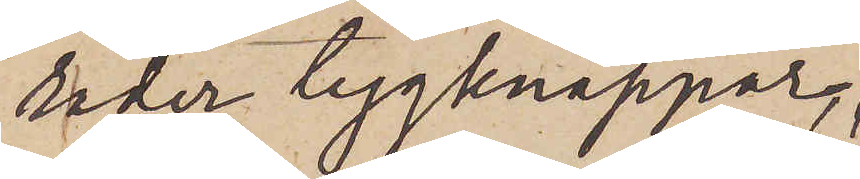rader tygknappar,
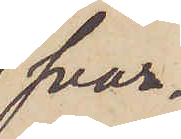svar¬
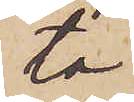ta
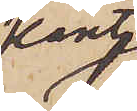kant¬
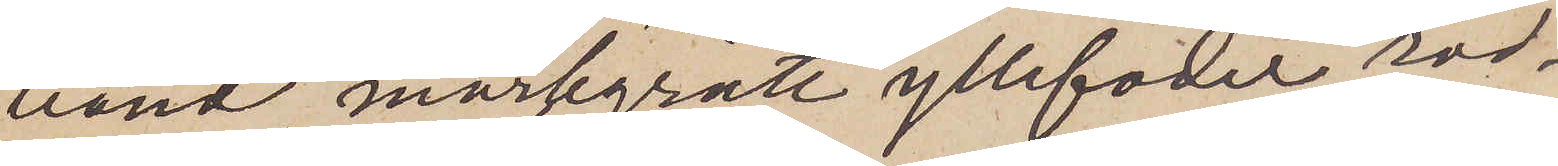band, mörkgrått yllefoder, röd¬
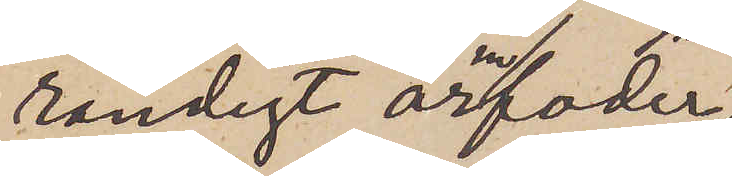randigt ärmfoder
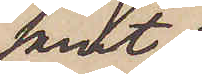samt
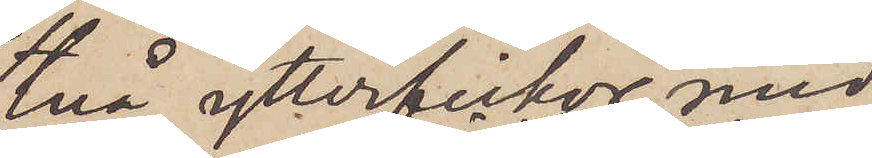två ytterfickor med
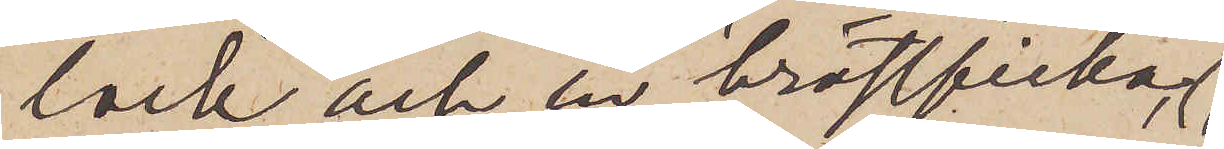lock och en bröstficka,
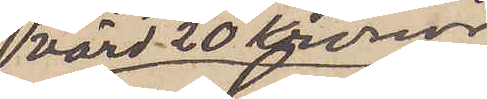värd 20 Kronor;
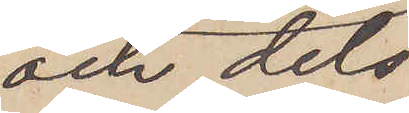och dels
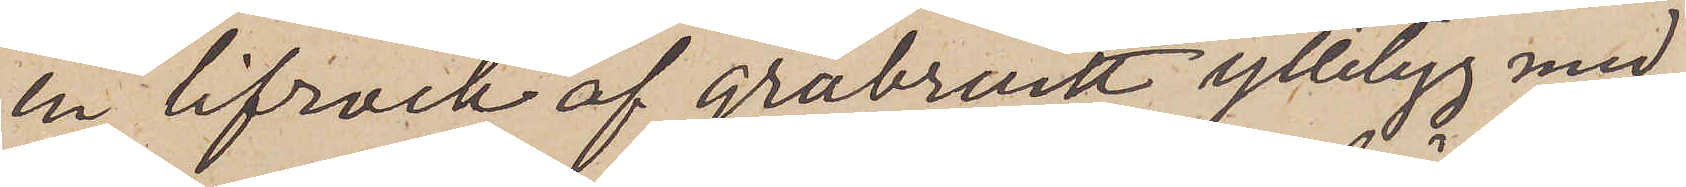en lifrock af gråbrunt ylletyg med
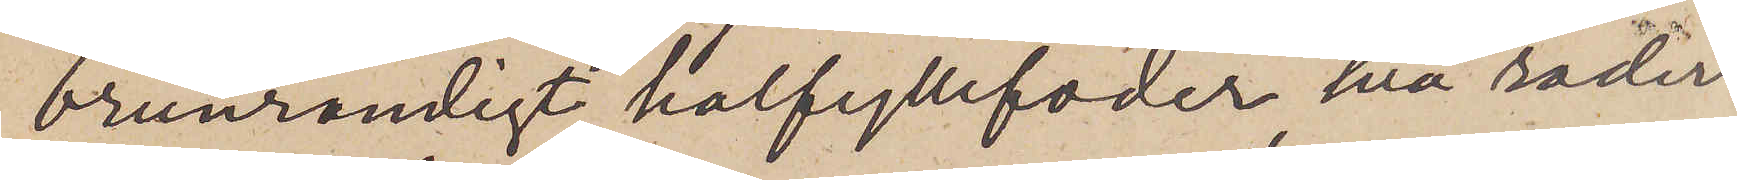brunrandigt halfyllefoder, två rader
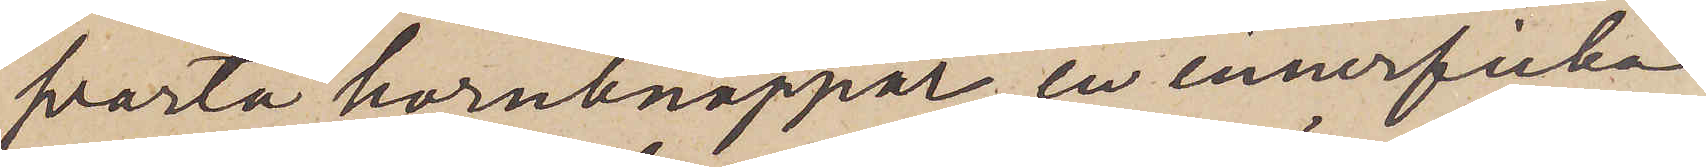svarta hornknappar, en innerficka
